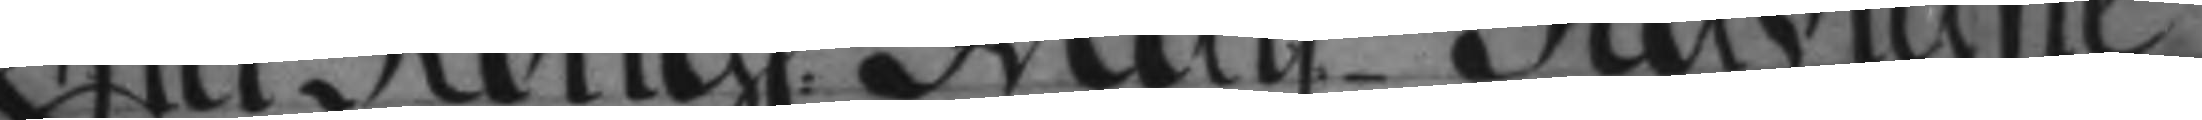Efter Kongl: May.ttz Nådigste
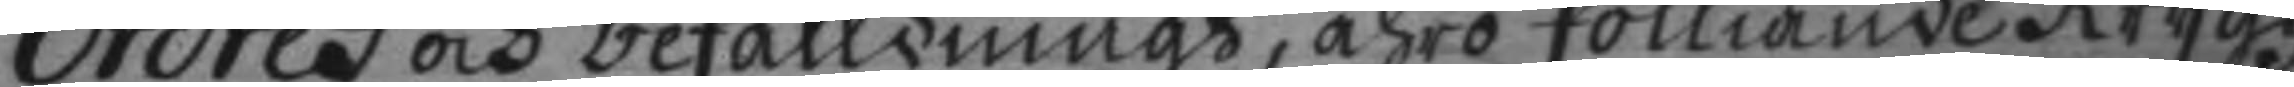ordres och befalldningh, ähro fölliande Krygz¬
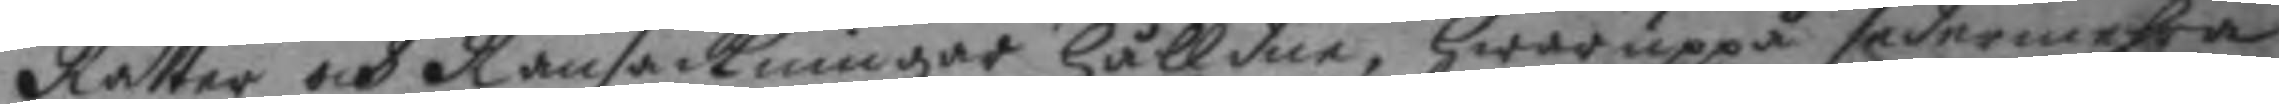Rätter och Ransackningar hålldne, Hwaruppå sedermehra
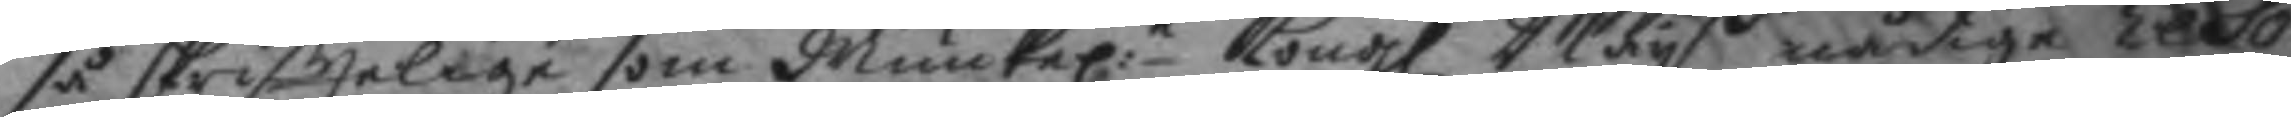så skriftelige som Muntel:e Kongl Maytz nådige resol¬
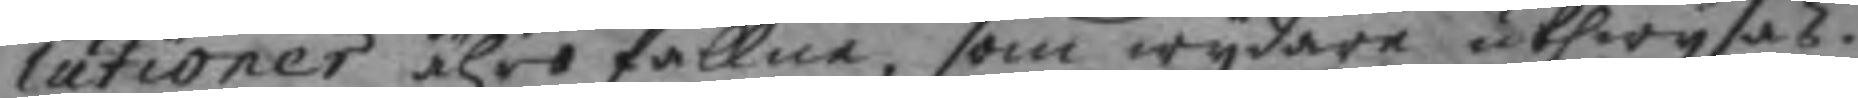lutioner ähro fallne, som wydare uthwysas.
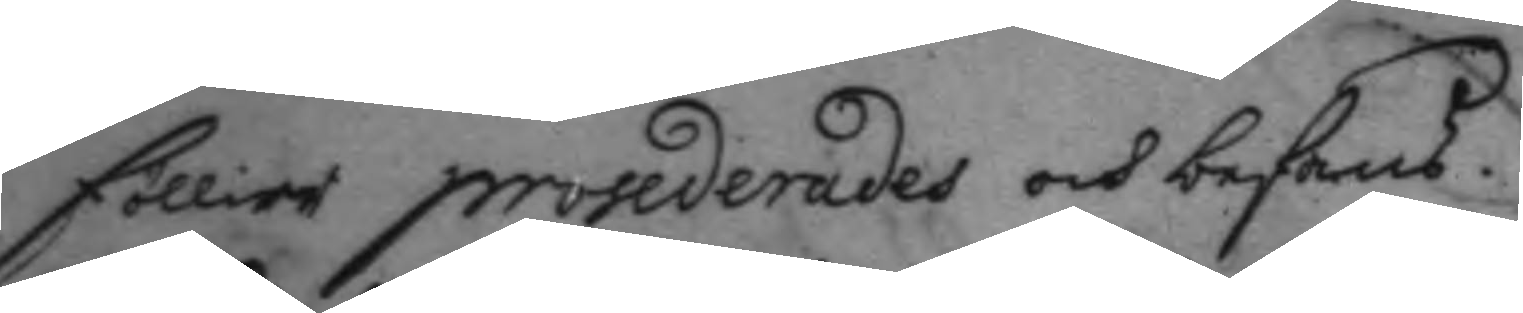föllier prosederades och befans.
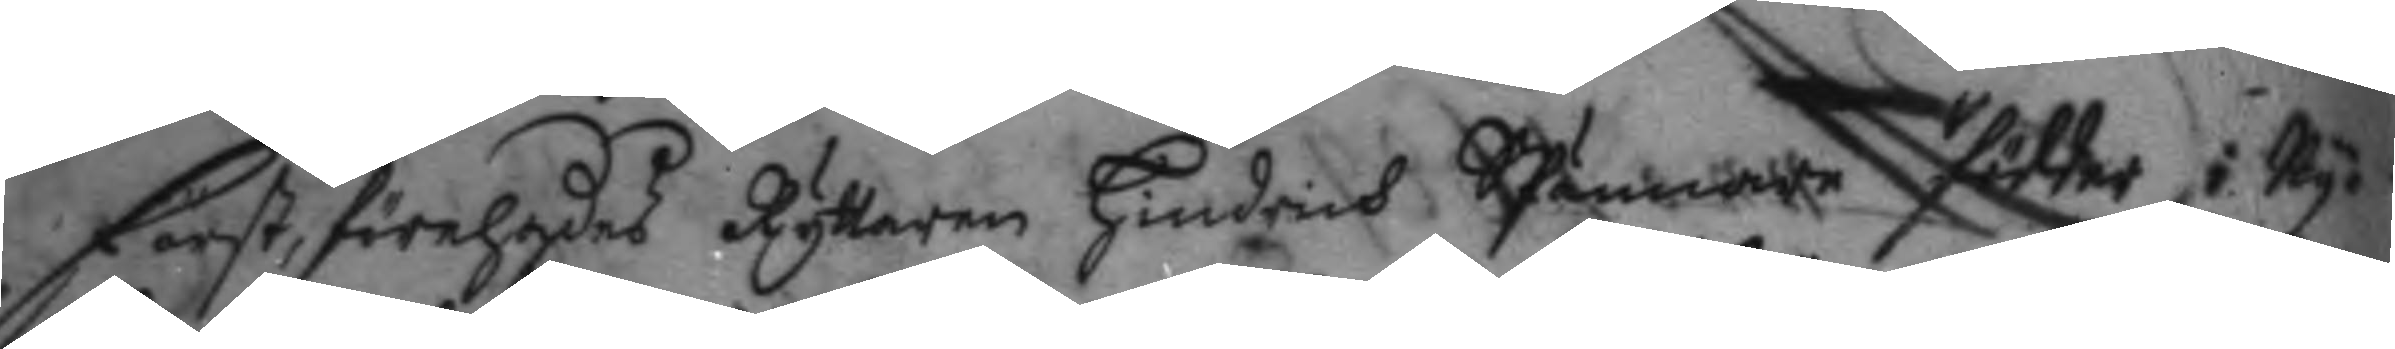Först, förehades Ryttaren Hindrich Spännare födder i Ny¬
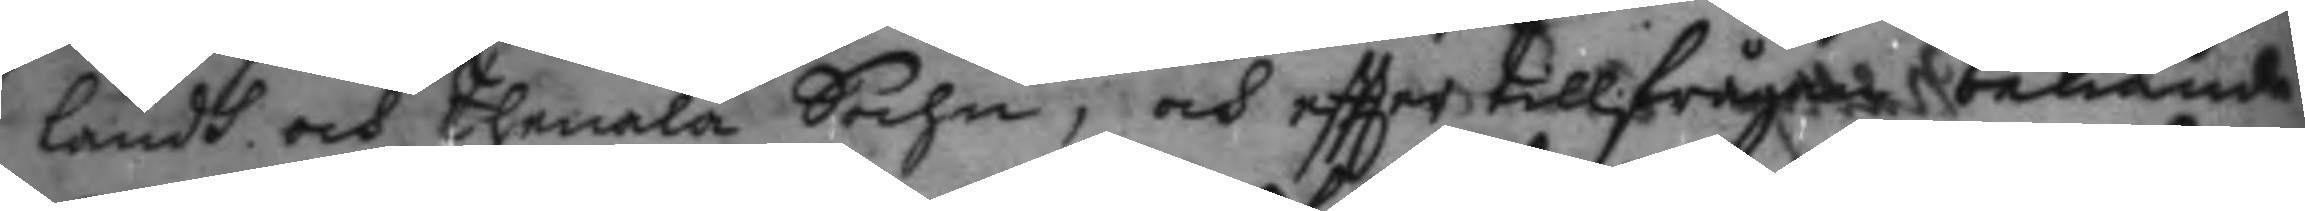landh och Tlenala Sochn, och eftter tillfrågan bekiände
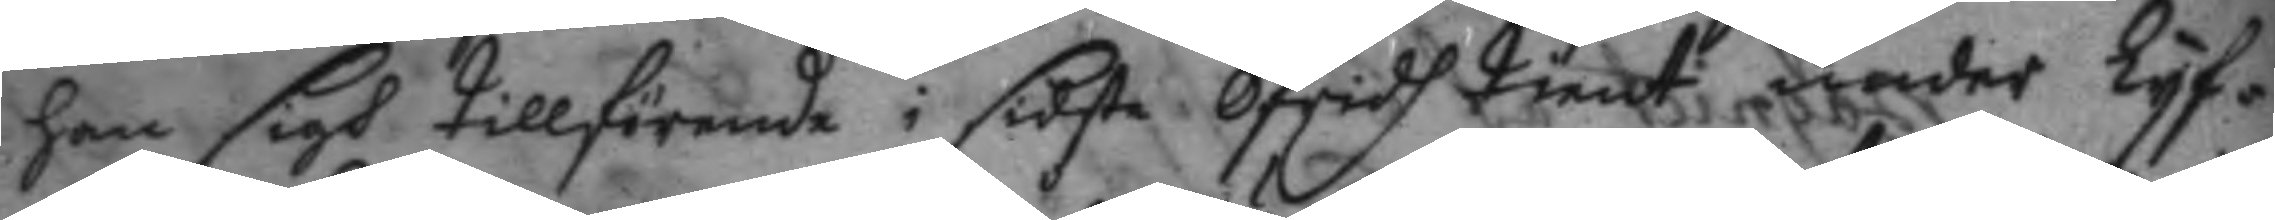han sigh tillförende i sidsta Ofridh tient under Lyf¬
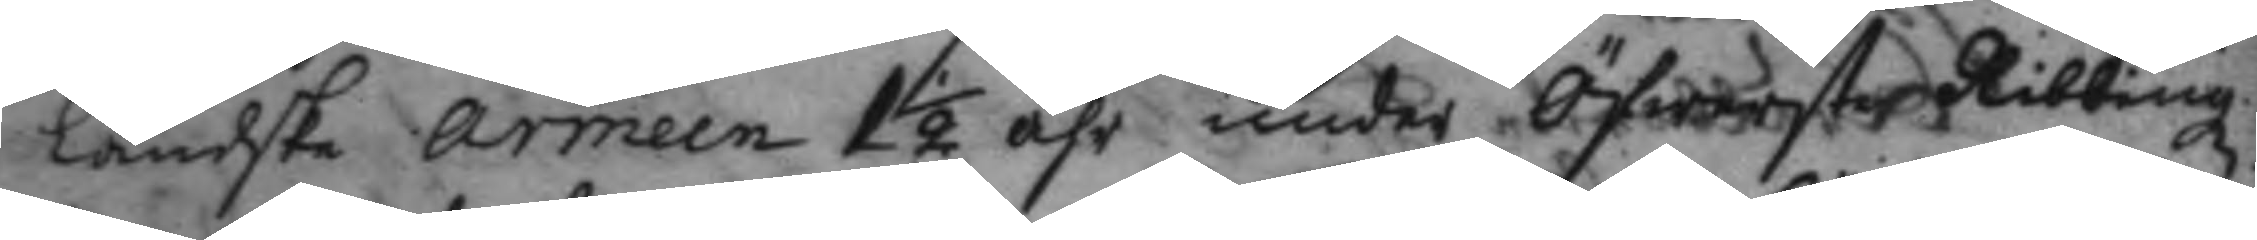ländske armeen 1½ åhr under Öfwerste Ribbingz
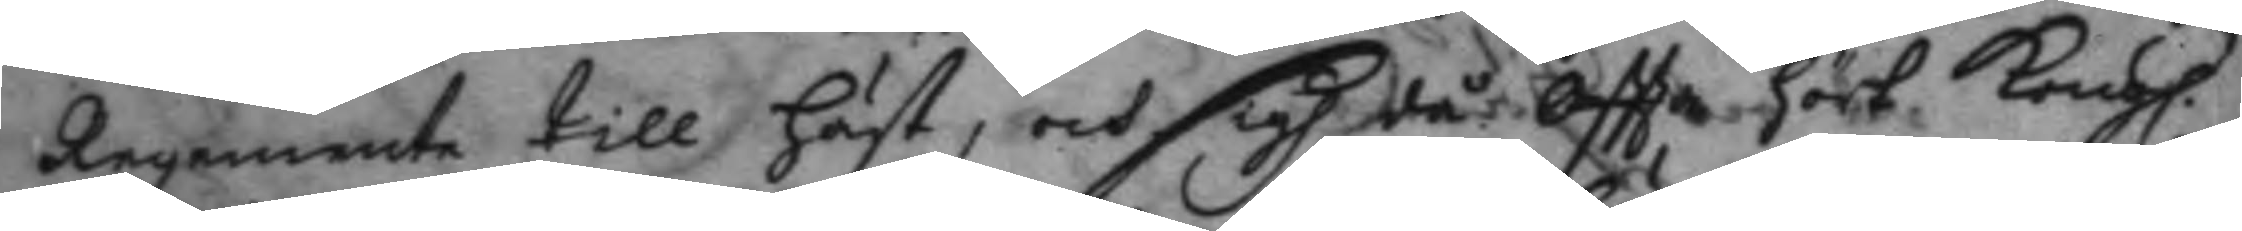Regemente till häst, och sigh då oftta hört Kongl.
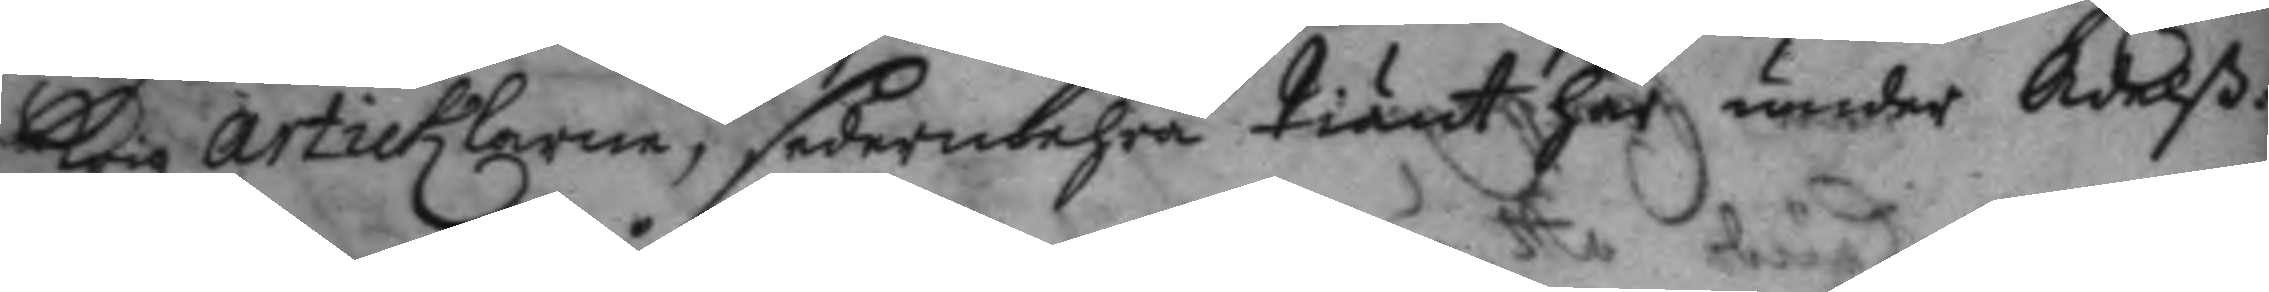krigz Articklarne, sedermehra tiänt här under Adelß¬
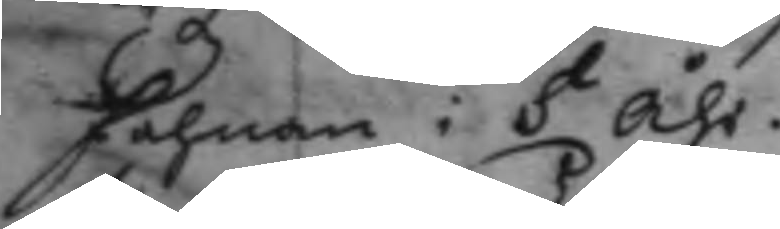fahnan i 8 Åhr.
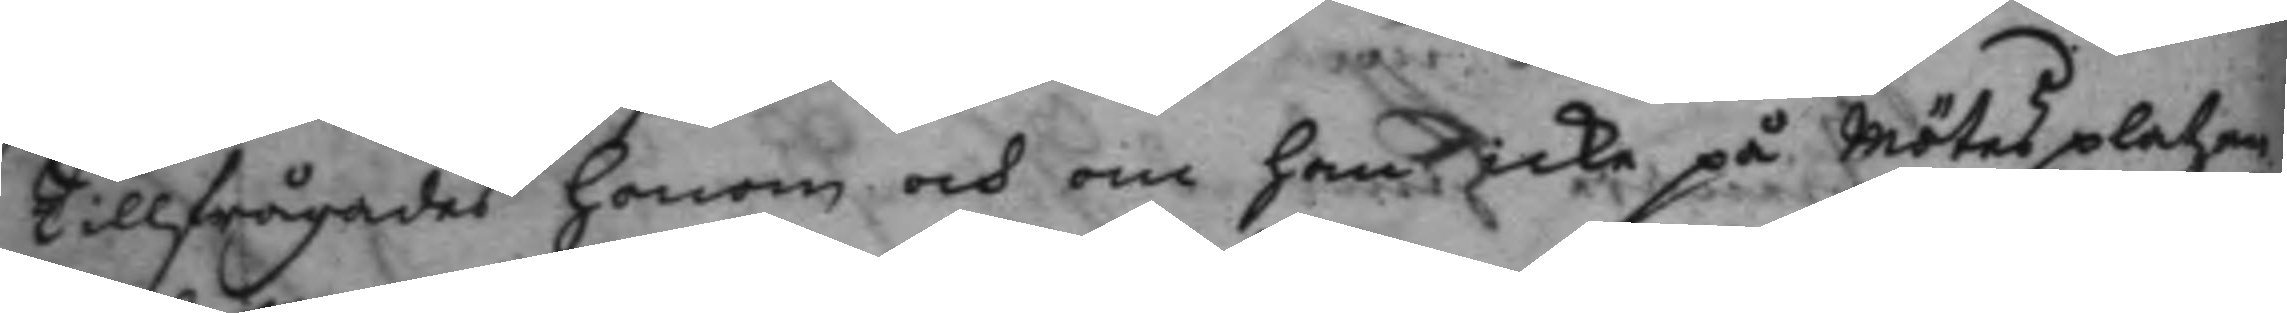Tillfrågades honom och om han icke på Mötes platzen
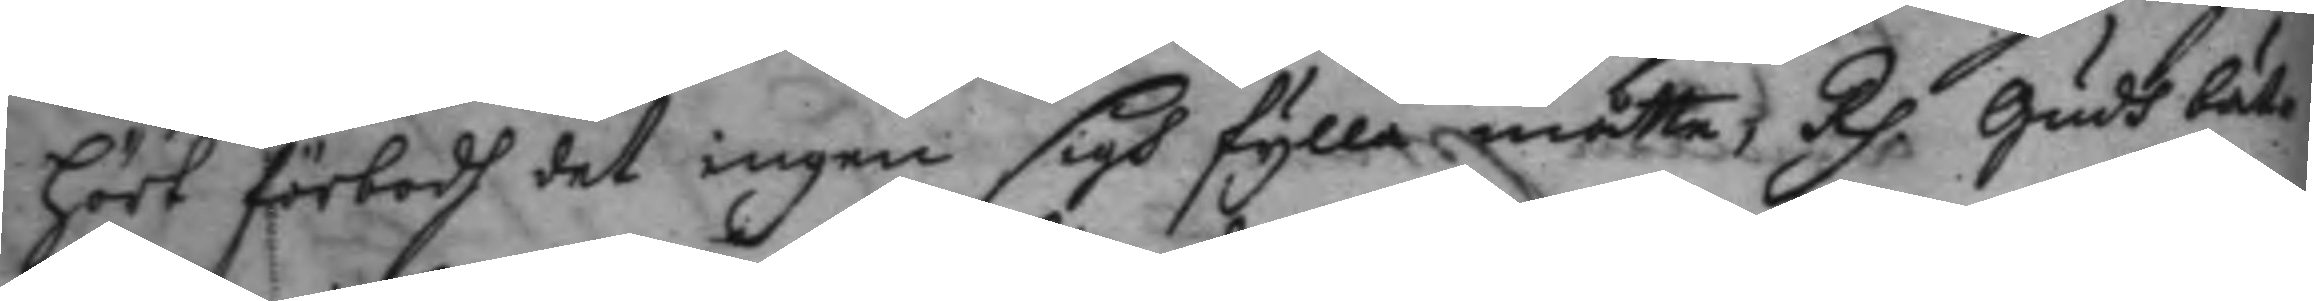hört förbodh det ingen sigh fylla måtte, Rp. Gudh bät¬
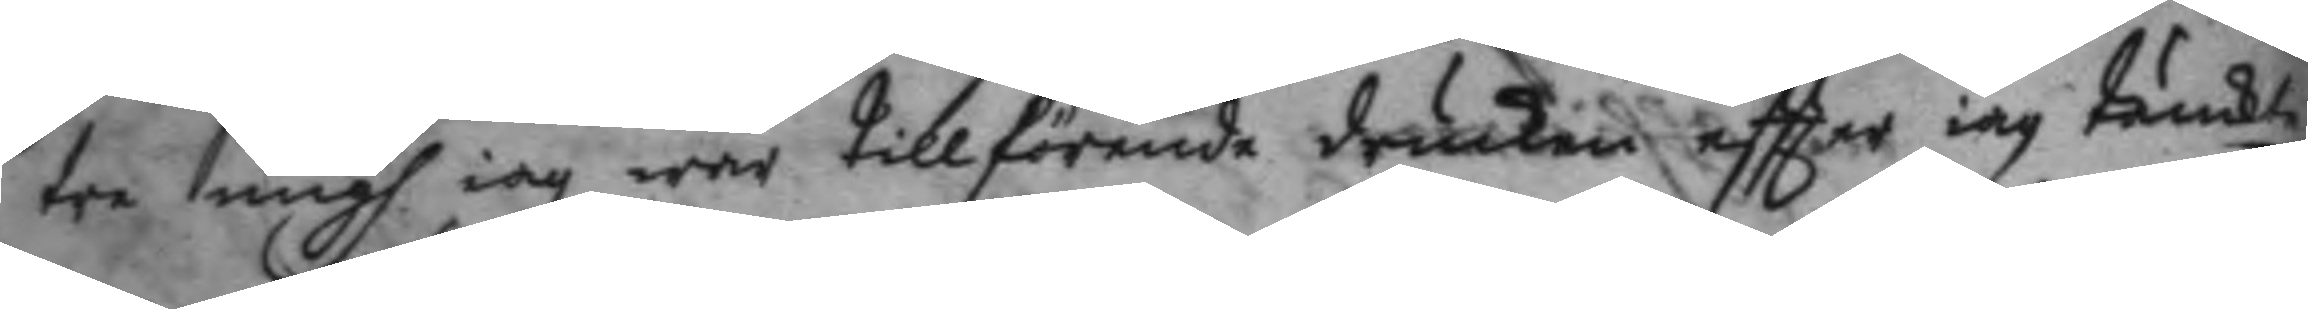tre migh iag war tillförende drucken eftter iag tänkte
